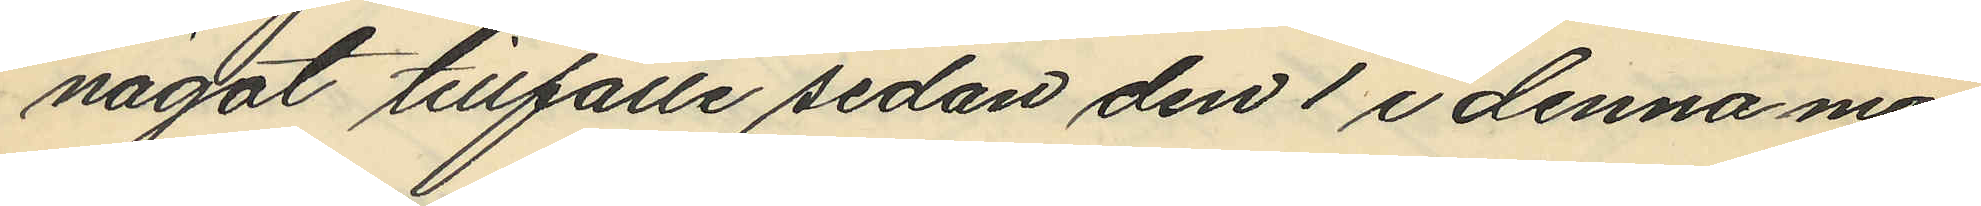något tillfälle sedan den 1 i denna må¬
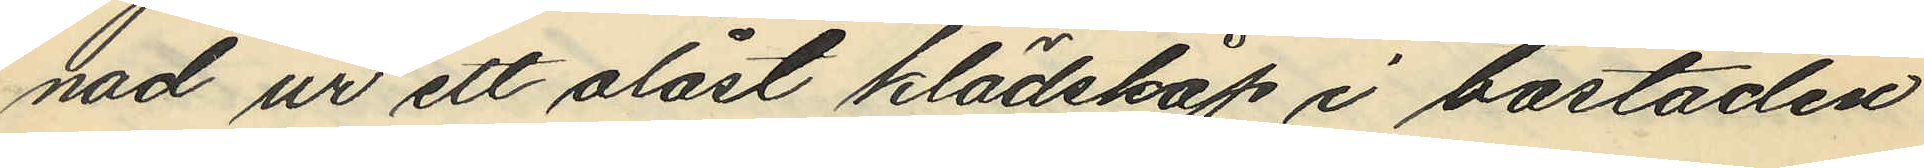nad ur ett olåst klädskap i bostaden
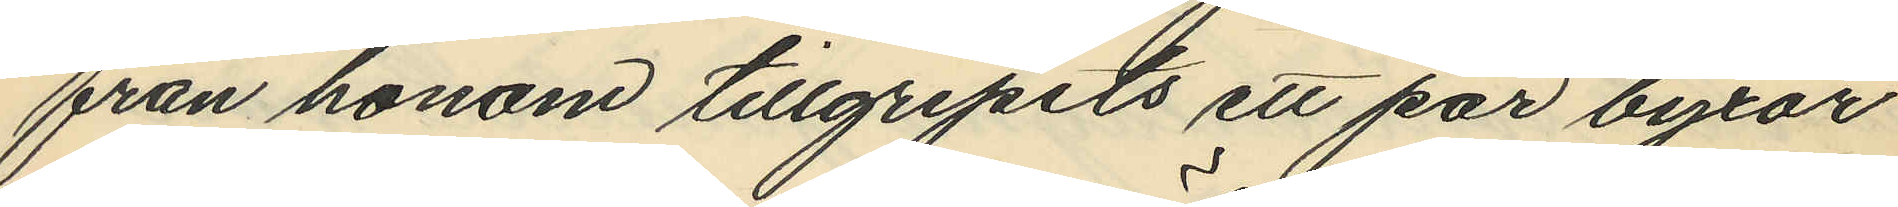från honom tillgripits ett par byxor
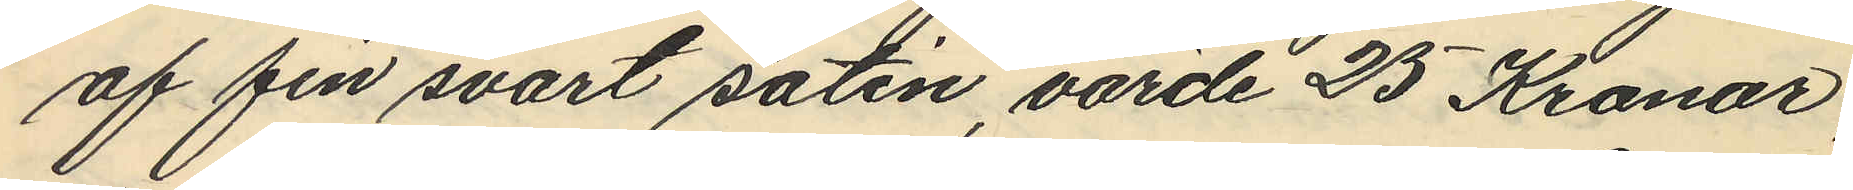af fin svart satin, värde 25 Kronor,
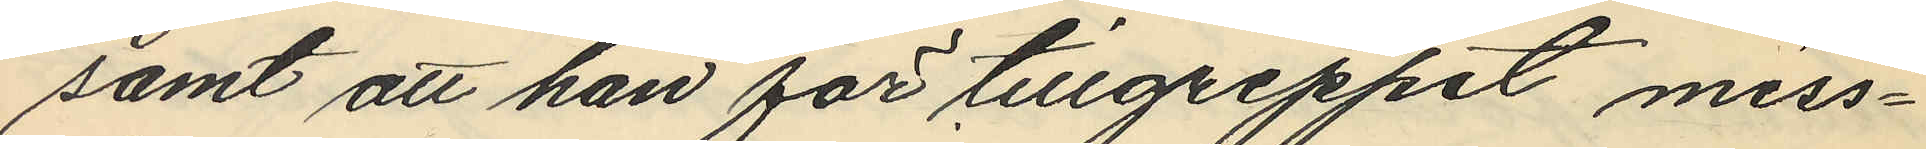samt att han för tillgreppet miss¬
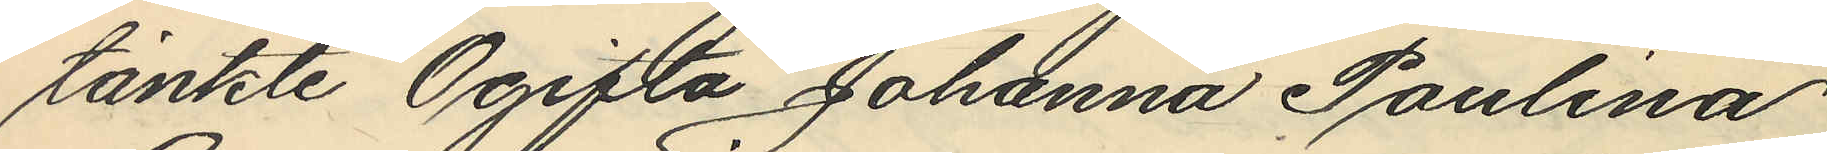tänkte Ogifta Johanna Paulina
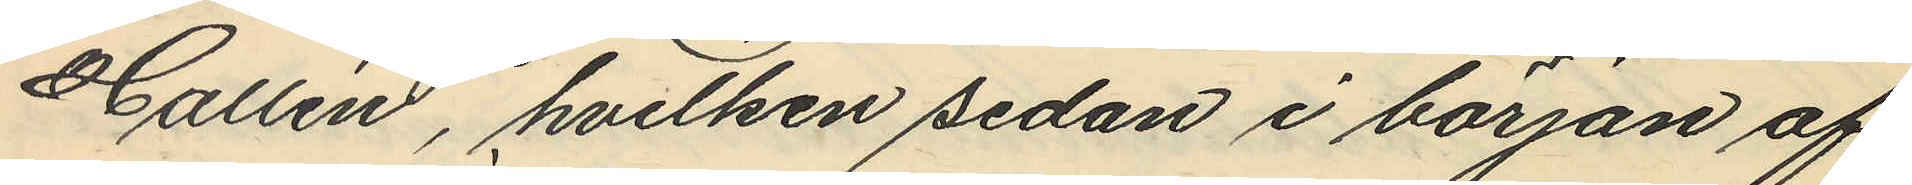Hallén, hvilken sedan i början af
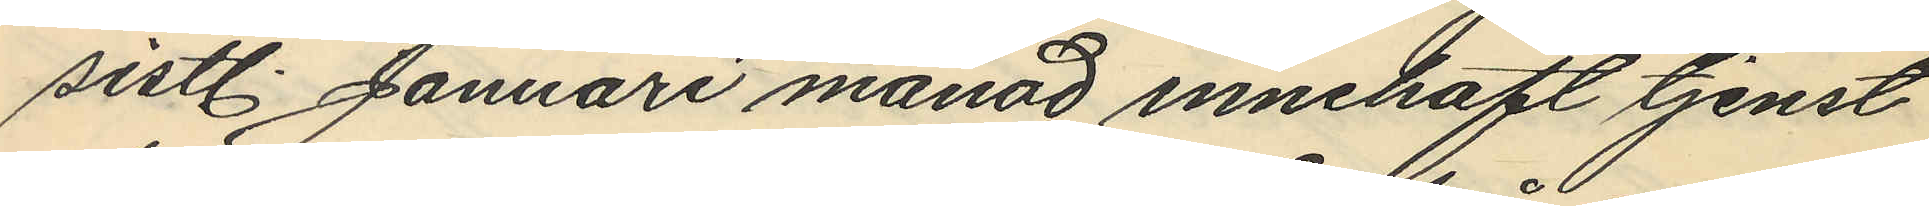sistl. Januari månad innehaft tjenst
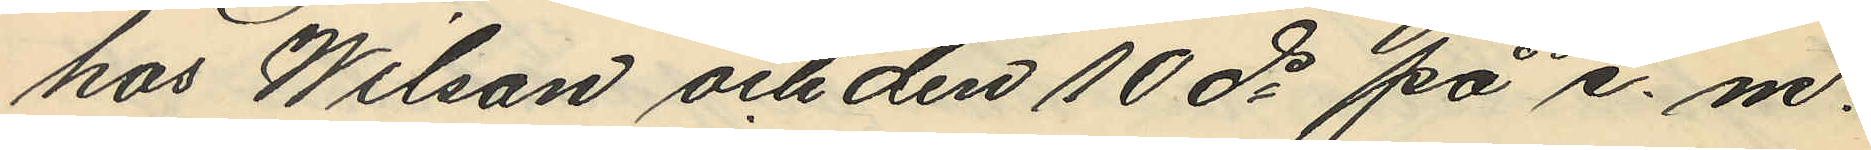hos Wilson och den 10 ds på e. m.
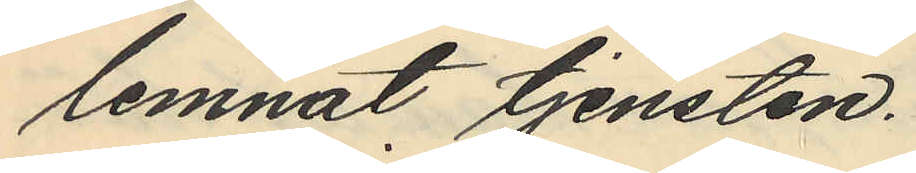lemnat tjensten.
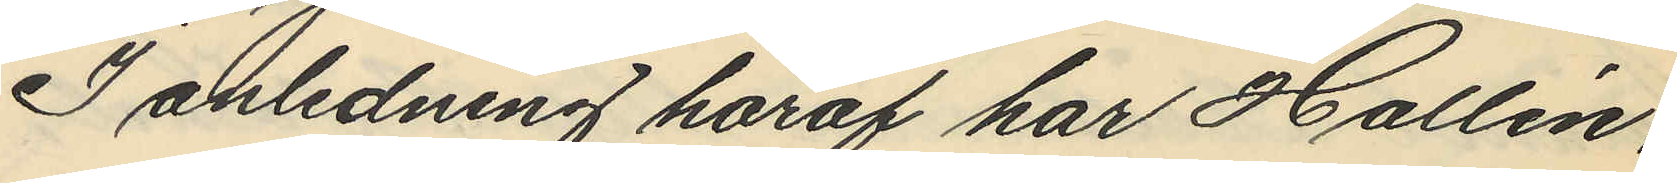I anledning häraf har Hallén,
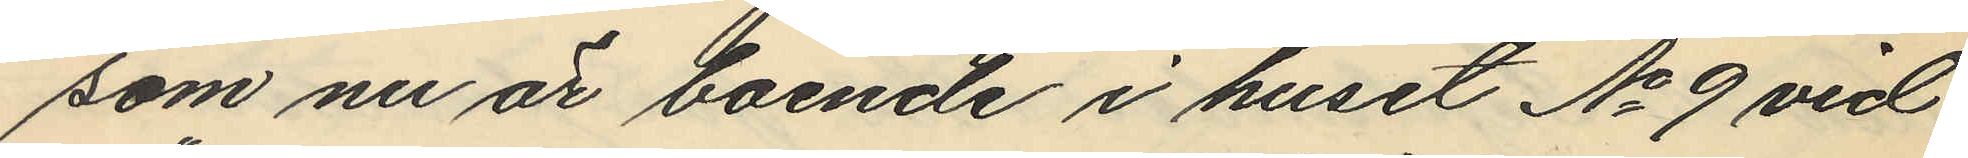som nu är boende i huset No 9 vid
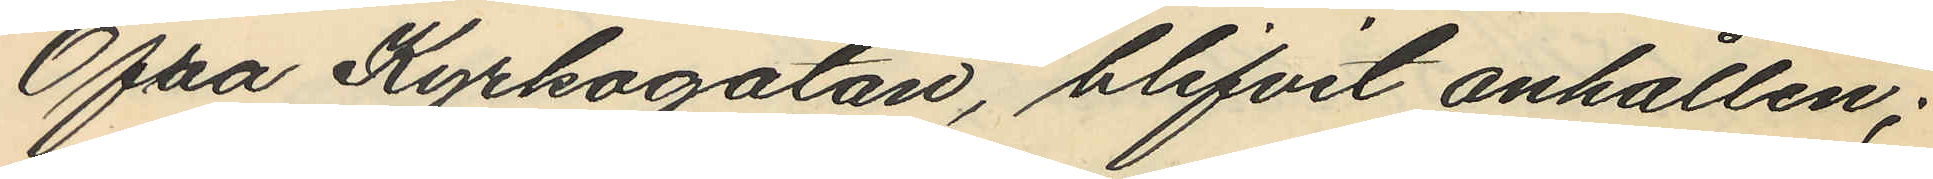Öfra Kyrkogatan, blifvit anhållen;
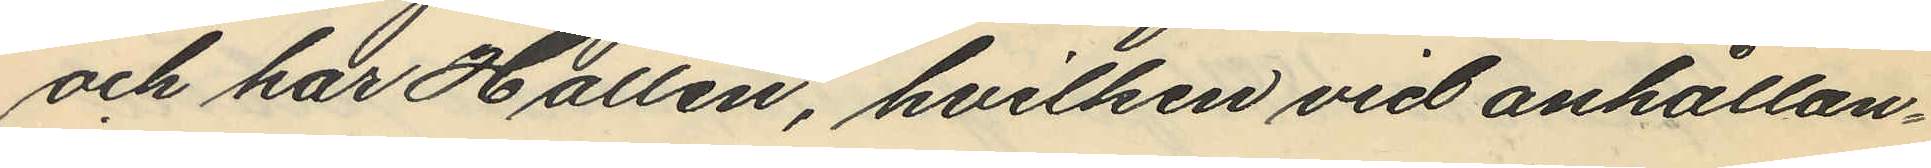och har Hallén, hvilken vid anhållan¬
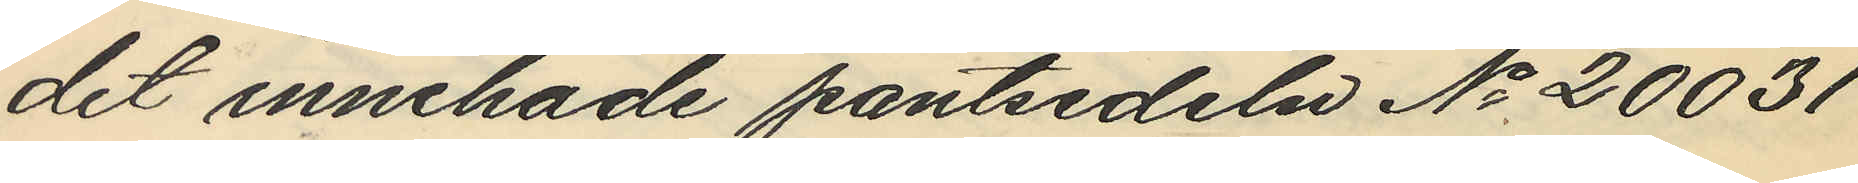det innehade pantsedeln No 20031
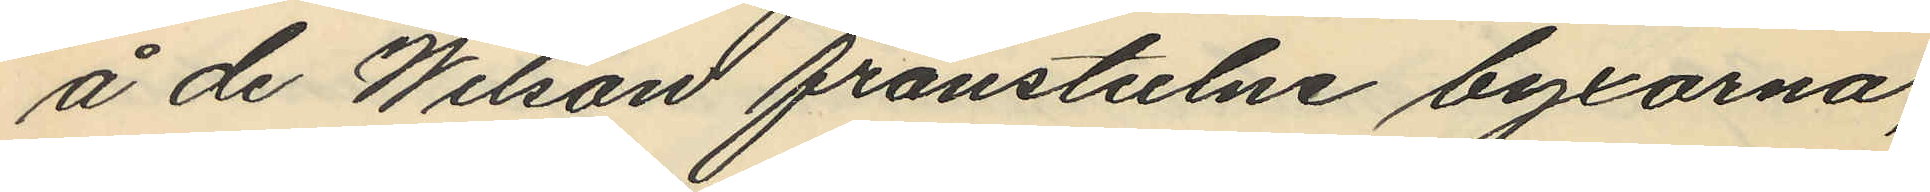å de Wilson frånstulne byxorna,
